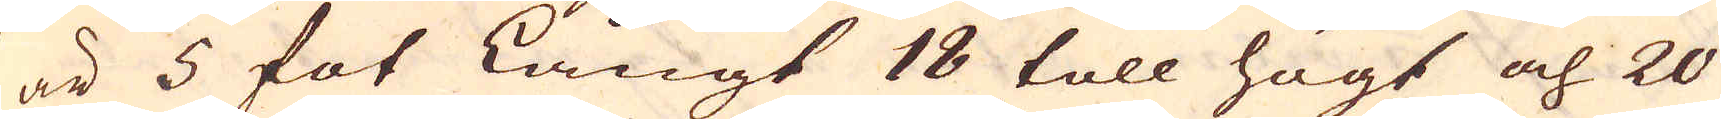är 5 fot långt 18 toll högt och 20
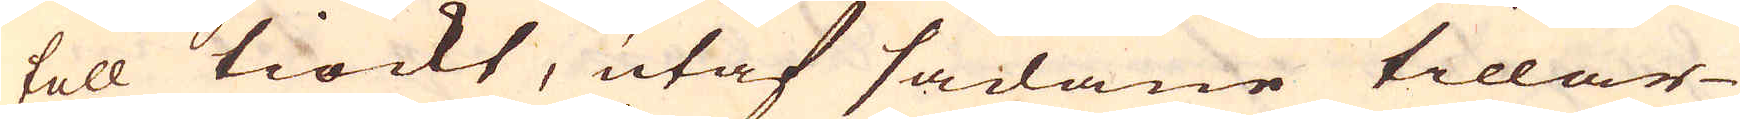toll tiockt, utaf sådane tillar-
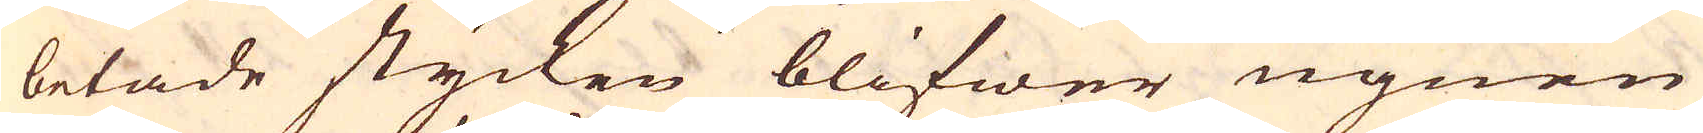betade stycken blifwer ugnen
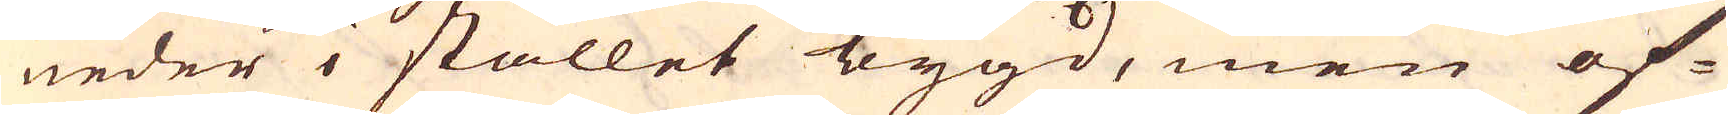neder i stället bygd, men of-
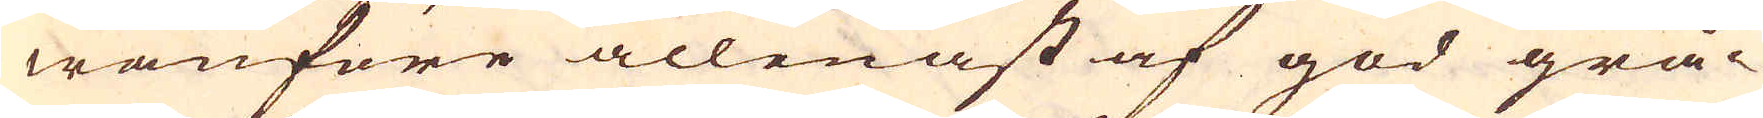wanföre allenast af god grå-
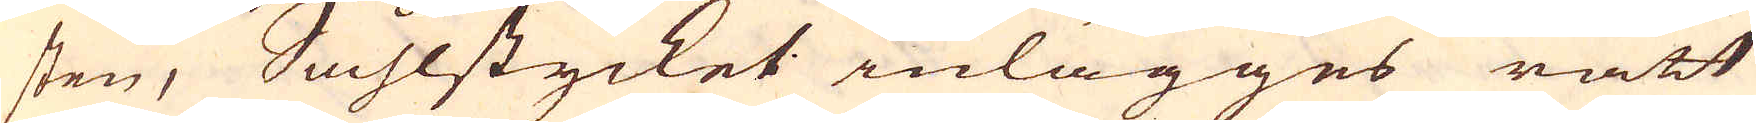sten, Såhlstycket inlägges rätt
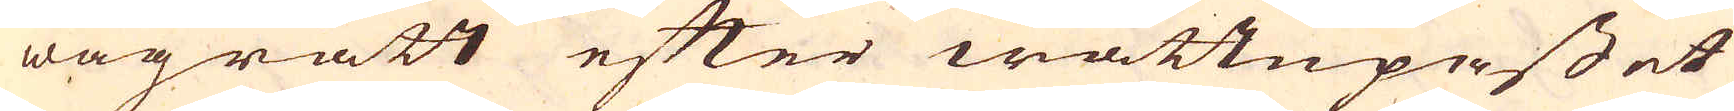wågrätt efter wattupasset
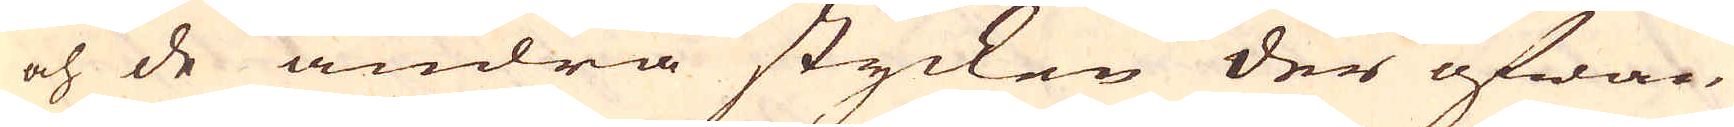och de andra stycken der ofwan-
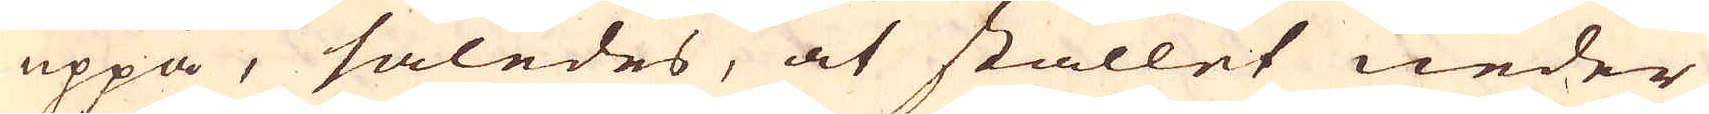uppå, således, at stället neder
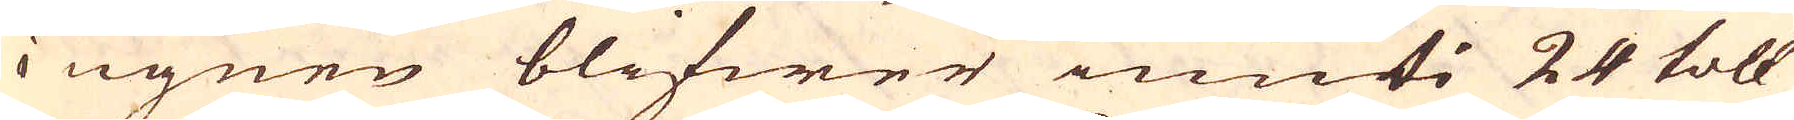i ugnen blifwer inuti 24 toll
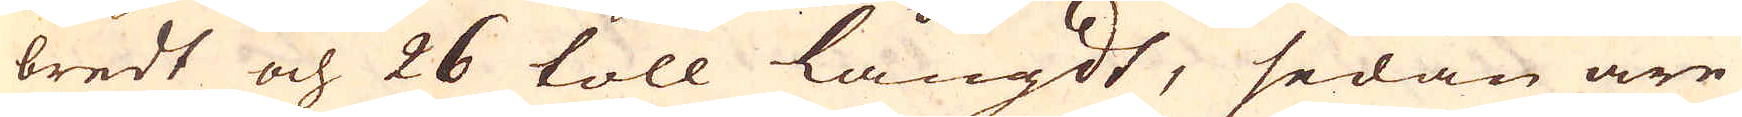bredt och 26 toll långdt, sedan äre
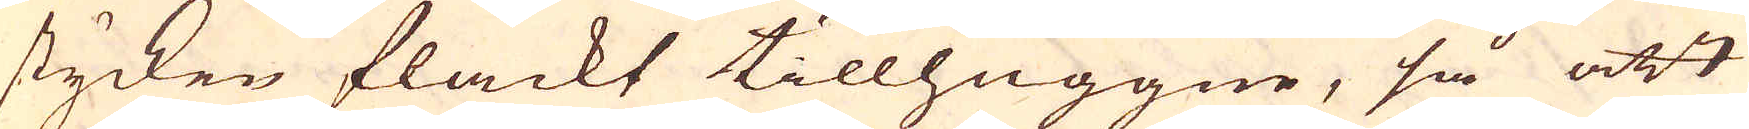stycken flackt tillhuggne, så att
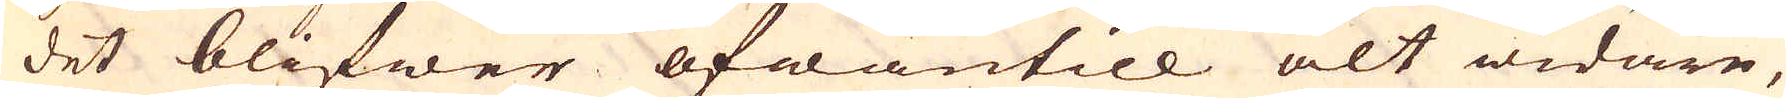det blifwer ofwantill alt widare,
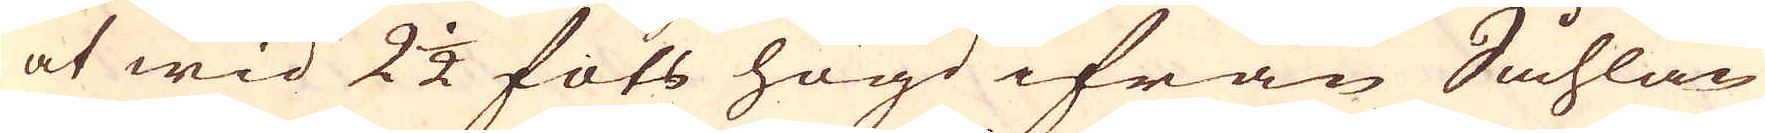at wid 2 1/2 fots högd ifrån Såhlan
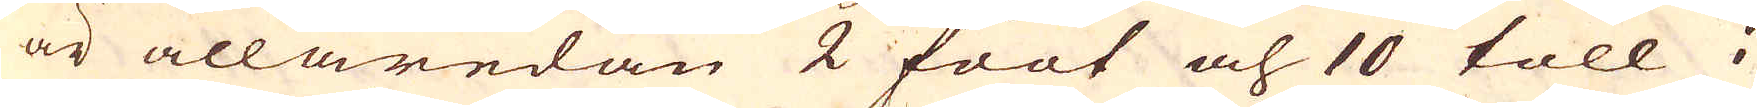är allaredan 2 foot och 10 toll i
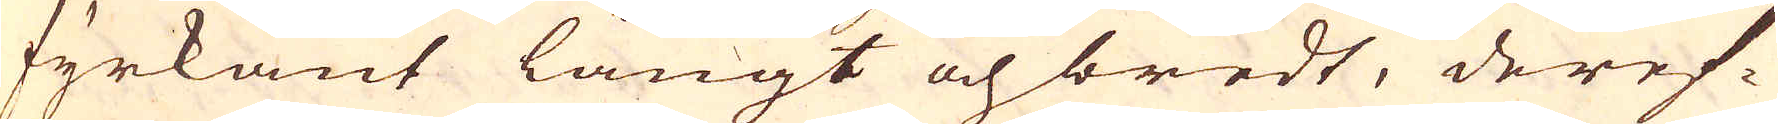fyrkant långt och bredt, deref-
